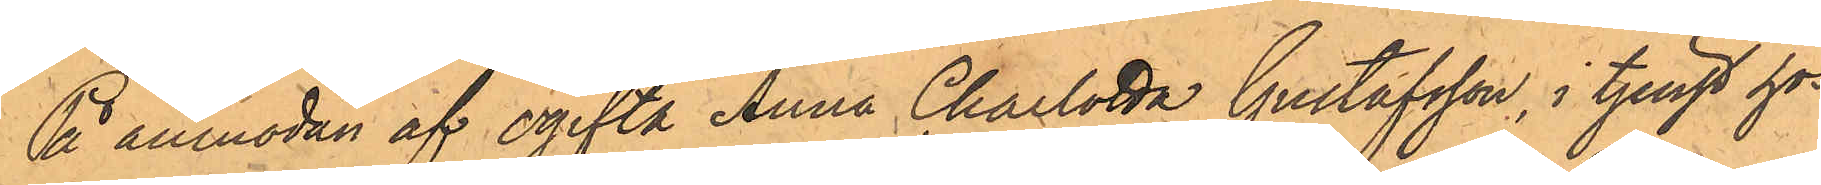På anmodan af ogifta Anna Charlotta Gustafsson, i tjenst hos
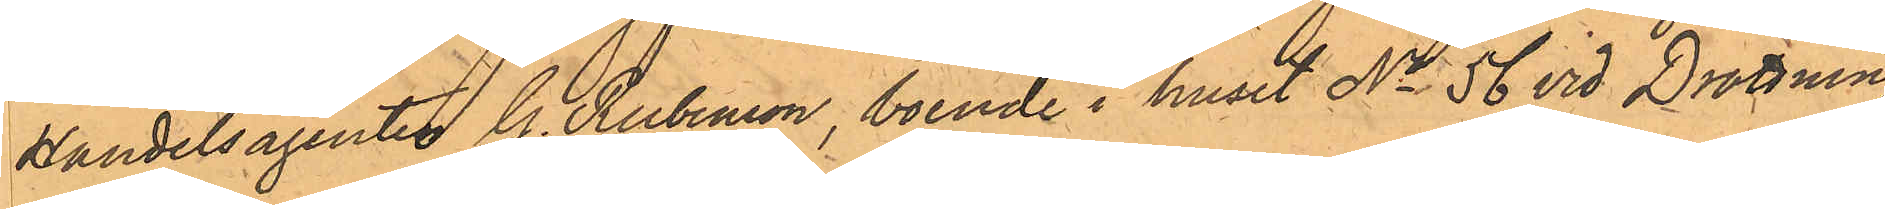Handelsagenten C. Rubenson, boende i huset No 56 vid Drottning¬
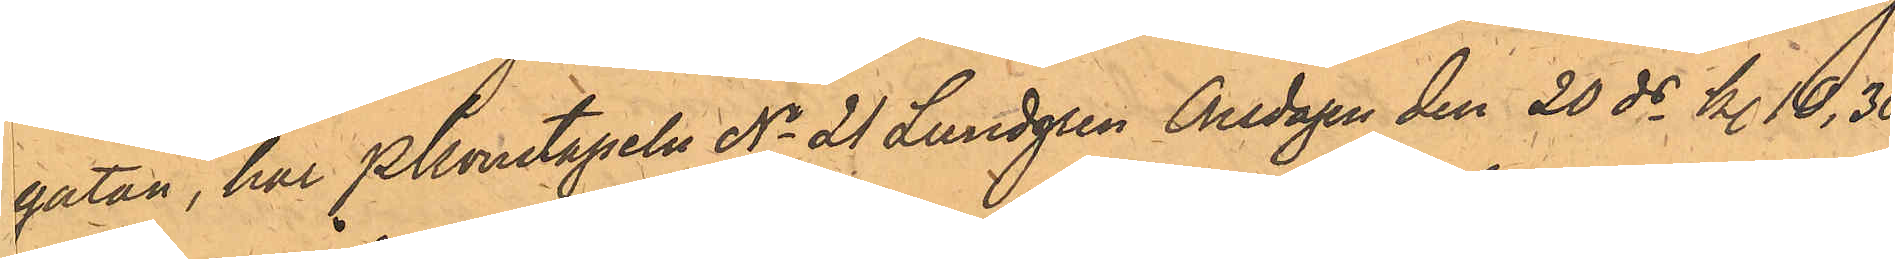gatan, har Pkonstapeln No 21 Lundgren Onsdagen den 20 ds kl. 10,30
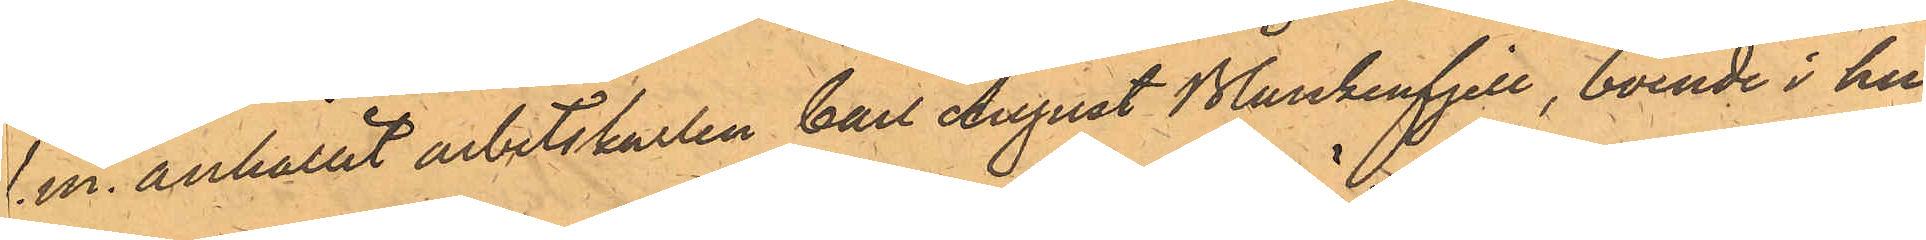f.m. anhållit arbetskarlen Carl August Blankenfjell, boende i hu¬
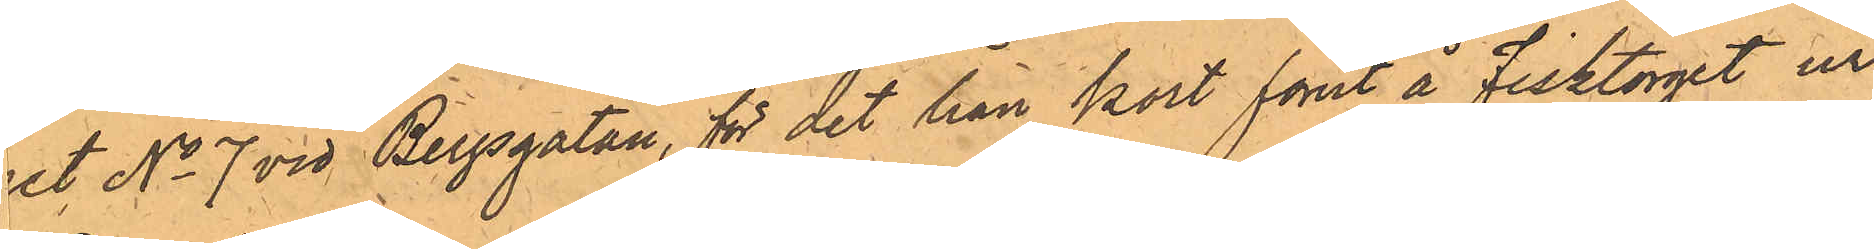et No 7 vid Bergsgatan, för det han kort förut å Fisktorget ur
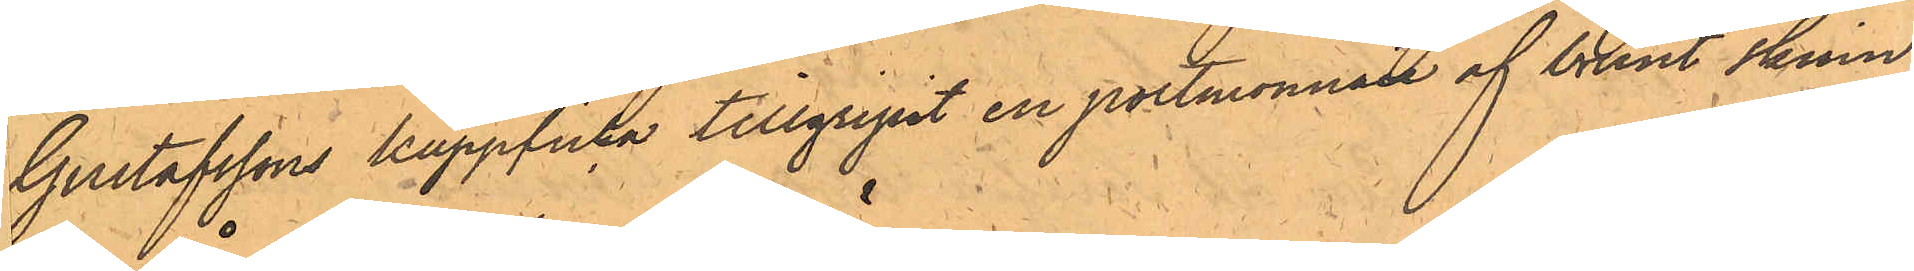Gustafssons kappficka tillgripit en portmonnaie af brunt skinn
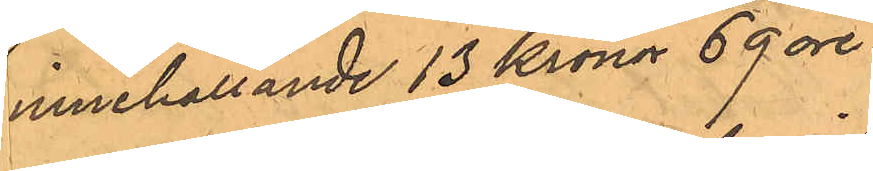innehållande 13 Kronor 69 öre.
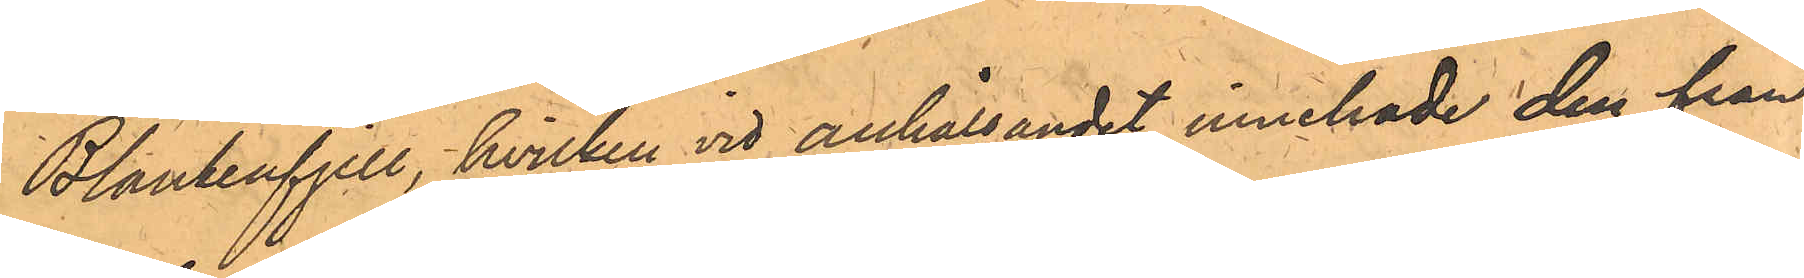Blankenfjell, hvilken vid anhållandet innehade den från
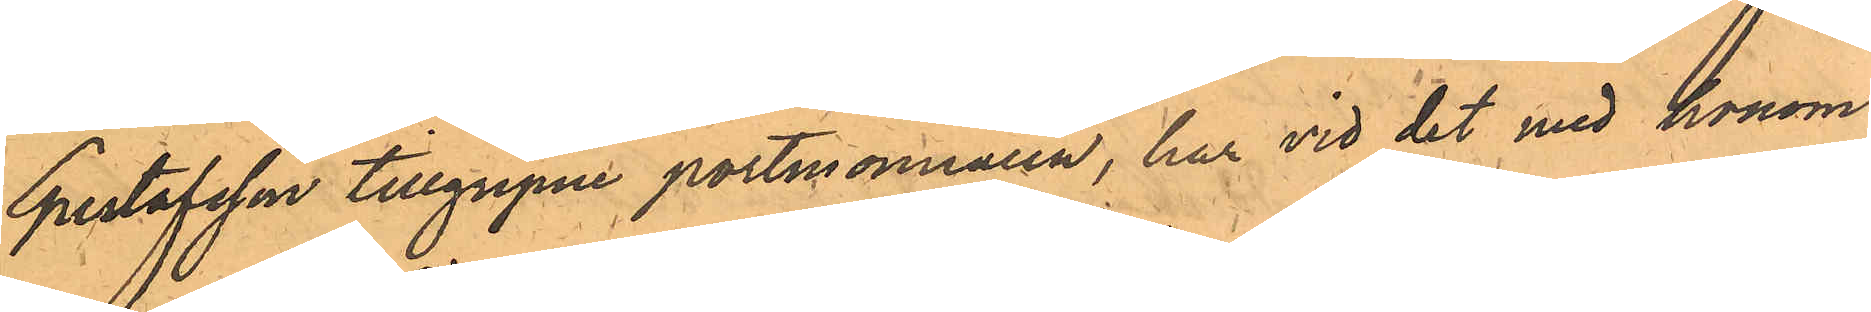Gustafsson tillgripne portmonnaien, har vid det med honom
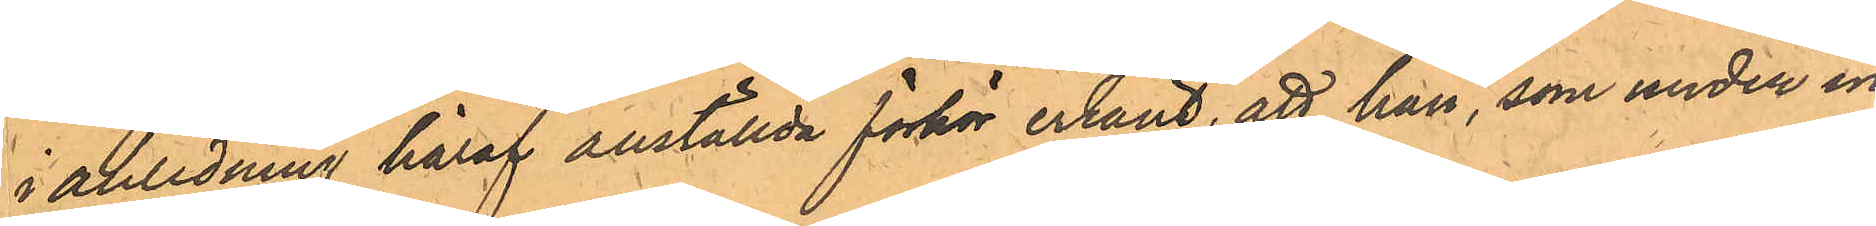i anledning häraf anställda förhör erkänt, att han, som under in¬
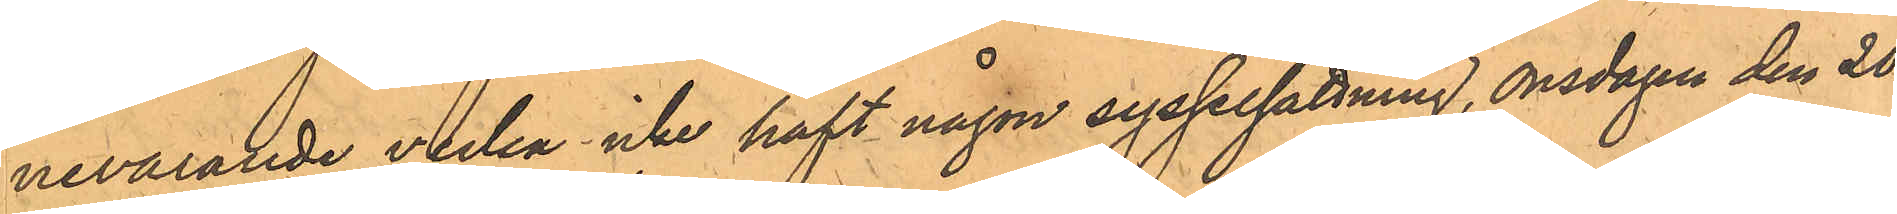nevarande vecka icke haft någon sysselsättning, onsdagen den 20
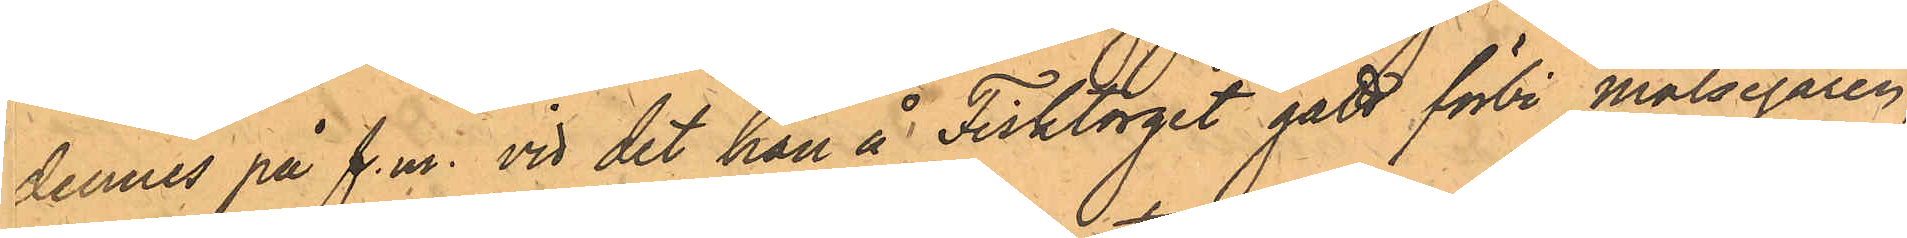dennes på f.m. vid det han å Fisktorget gått förbi målsegaren,
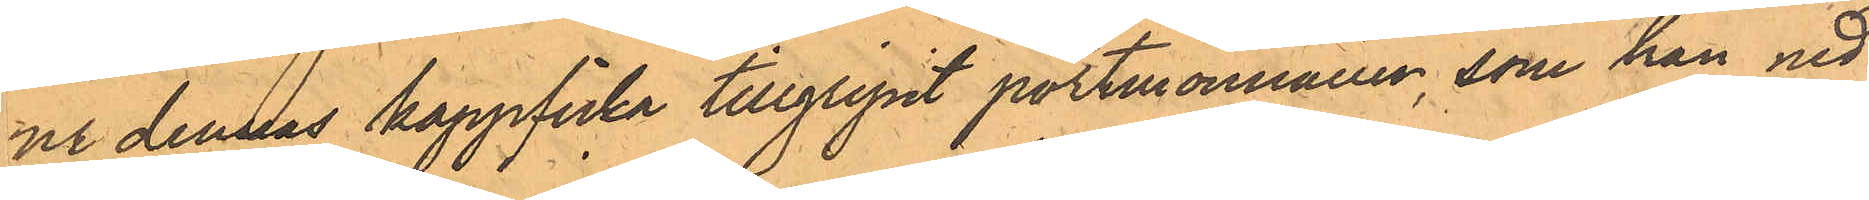ue dennas kappficka tillgripit portmonnaien, som han ned¬
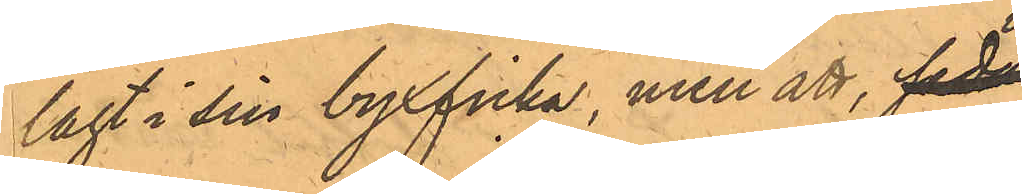lagt i sin byxficka, men att, sedan
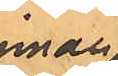innan
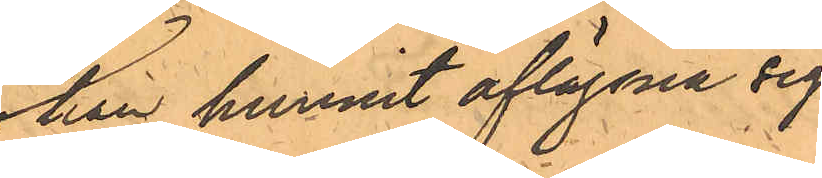han hunnit aflägsna sig
